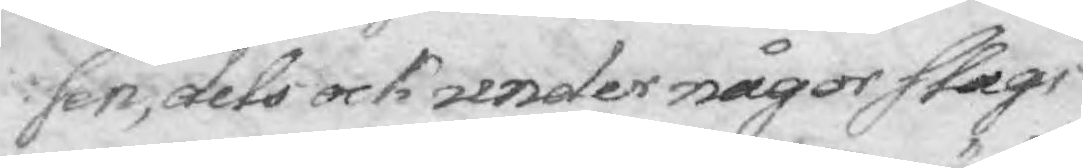sen, dels ock under någor slags
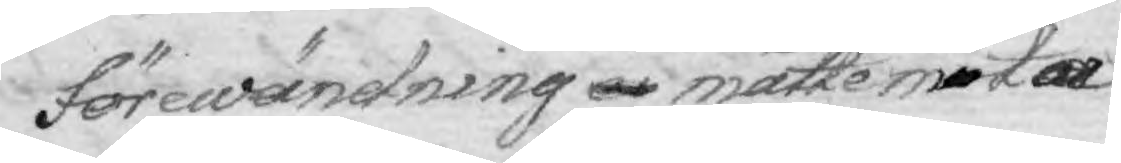förewändning ei måtte möta
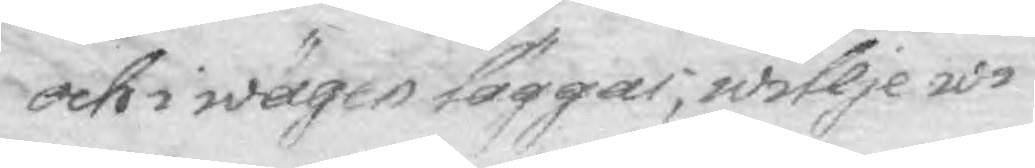och i wägen lägger, willje wi
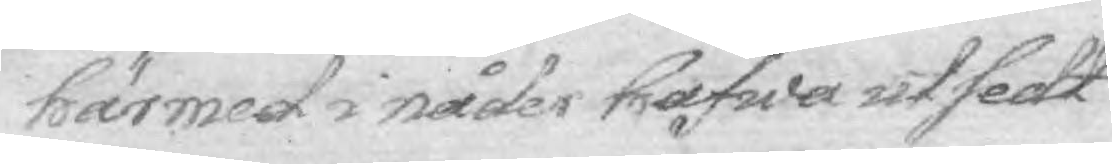härmed i nåder hafwa utsedt
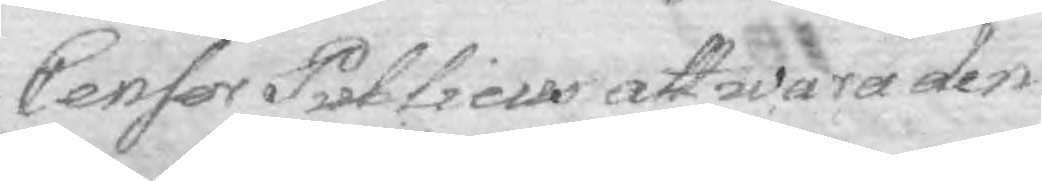Censor Publicus att wara den
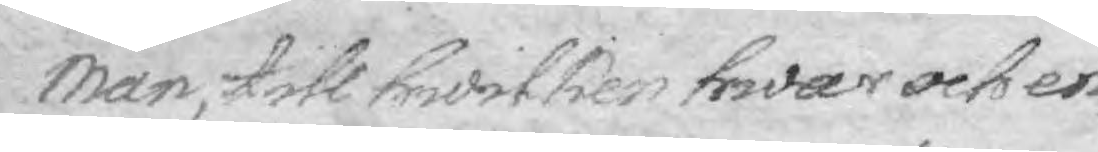Man, till hwilken hwar och en,
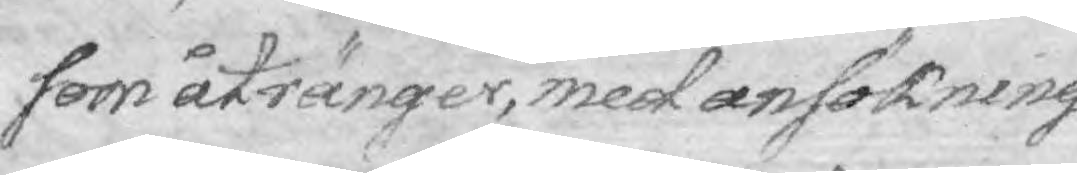som åtränger, med ansökning
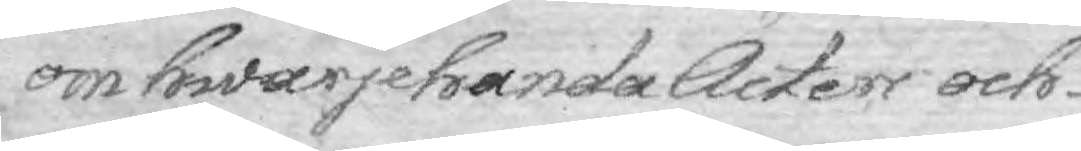om hwarjehanda Acter och
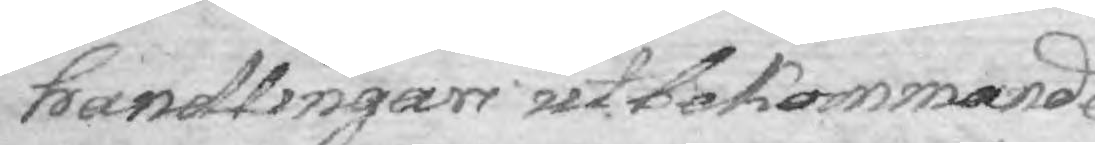handlingar utkommande
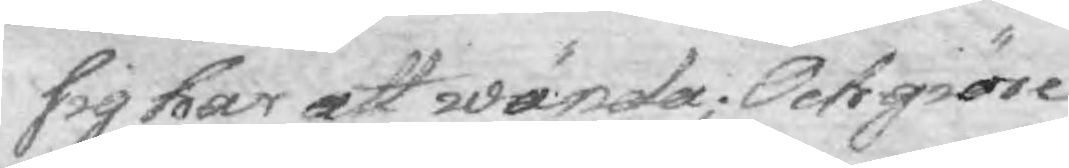sig har att wända; Och giöre
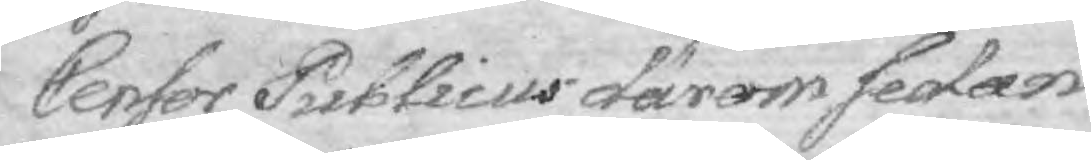Censor Publicus därom sedan
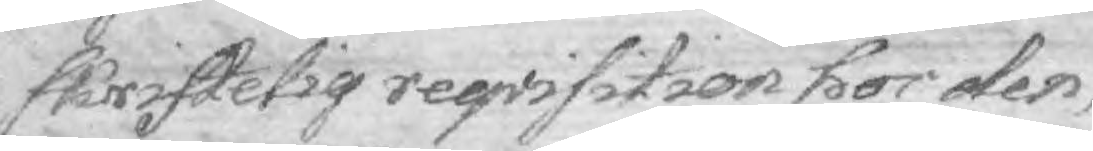skriftelig reqvisition hos den,
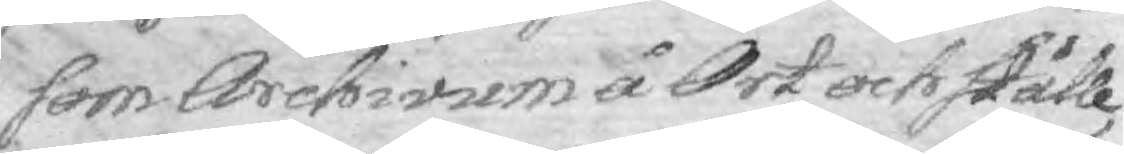som Archivum å Ort och ställe,
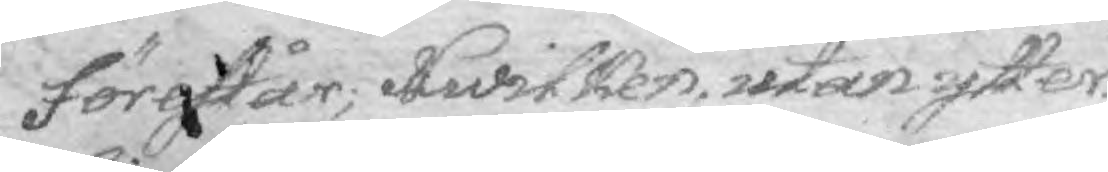förestår; Hwilken, utan ytter¬
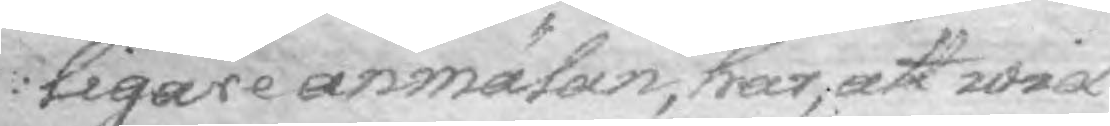ligare anmälan, har, at wid
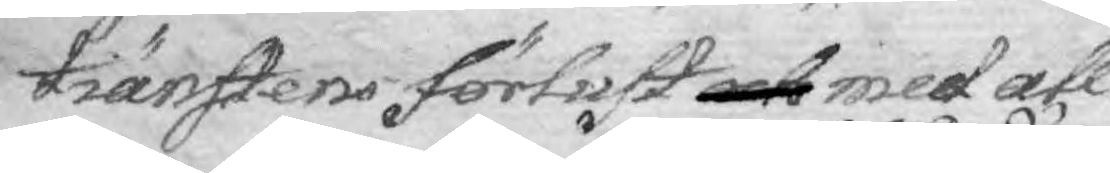tiänstens förlust och med all
